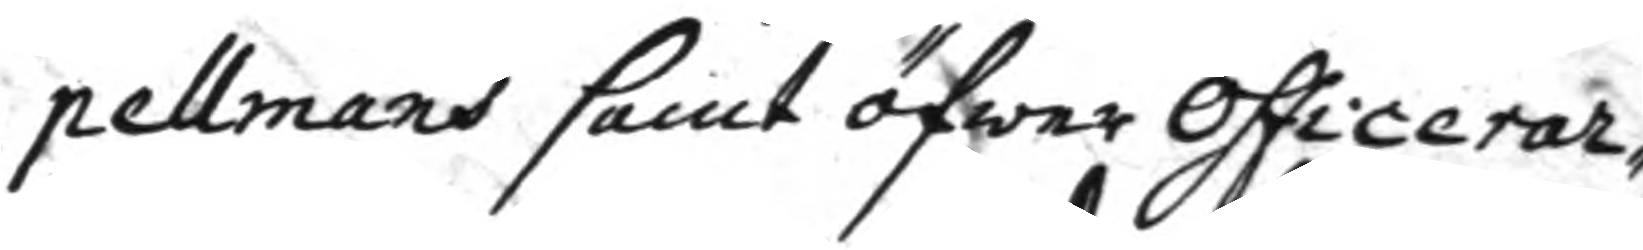pellmans samt öfwer officerar¬
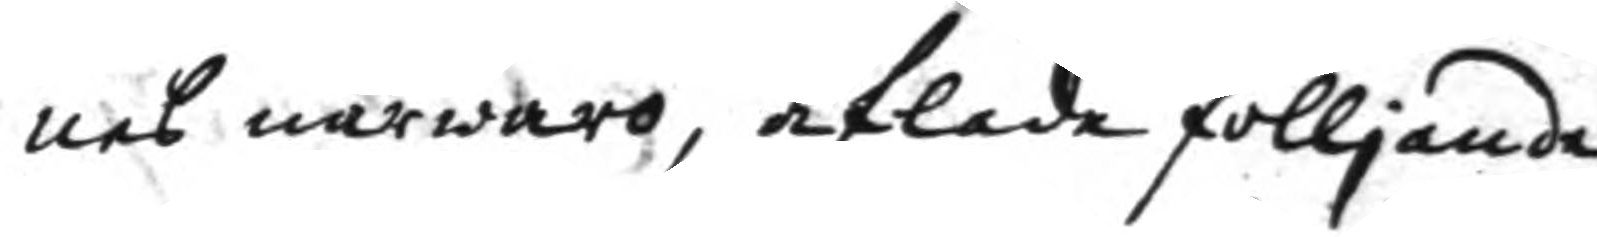nes närwaro, aflade fölljande
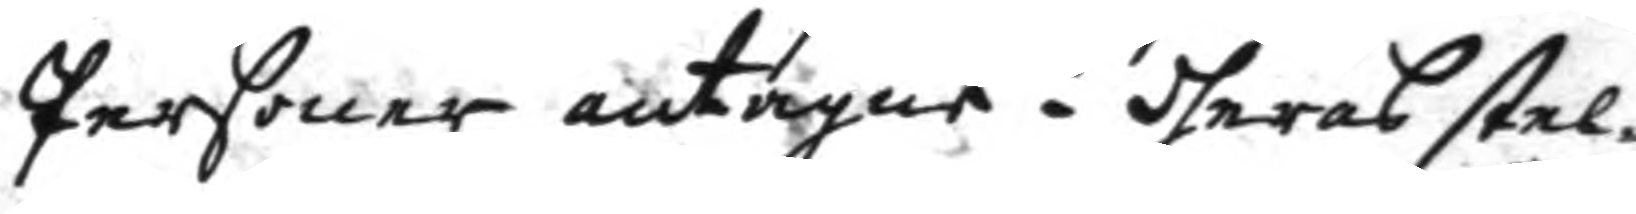Personer antagne: dheras stel¬
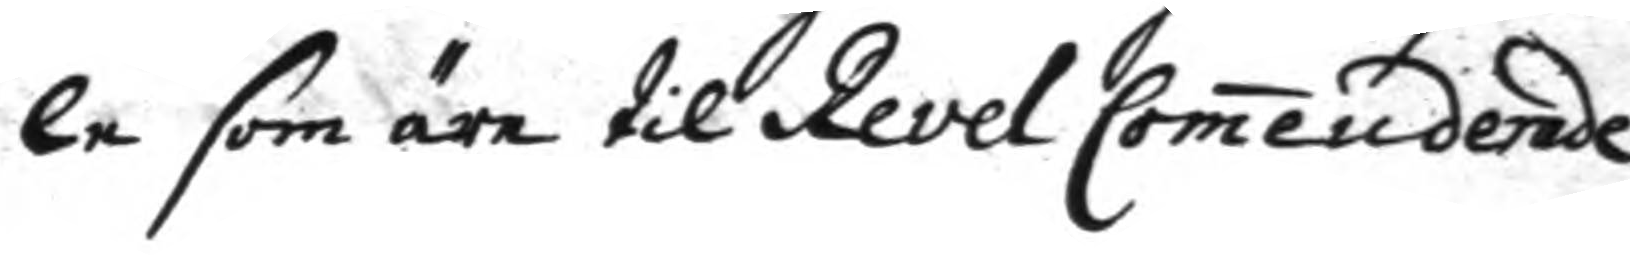le som äre til Reval Comenderade
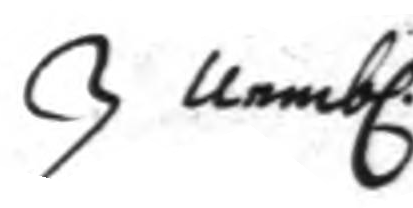nembl.n
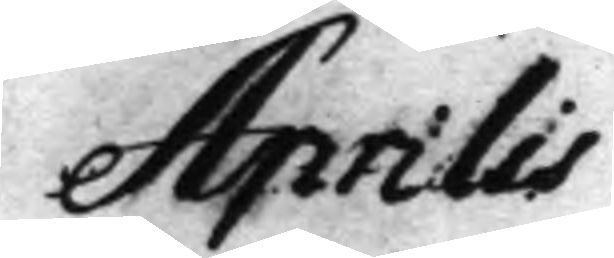Aprilis	
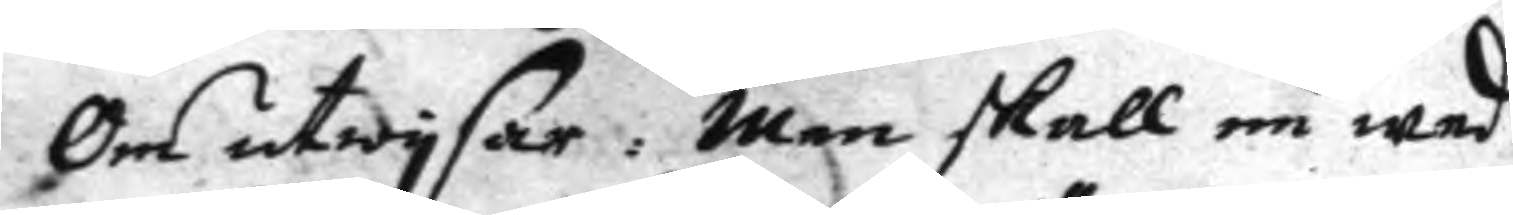Om utwysar: men skall nu wed
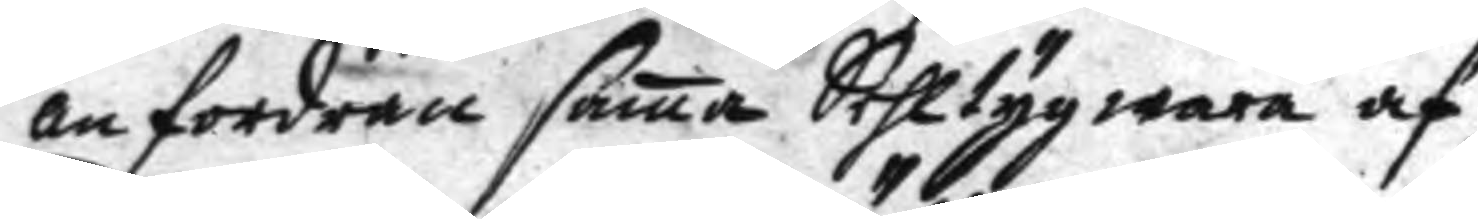anfordran sama Sehltyg wara af
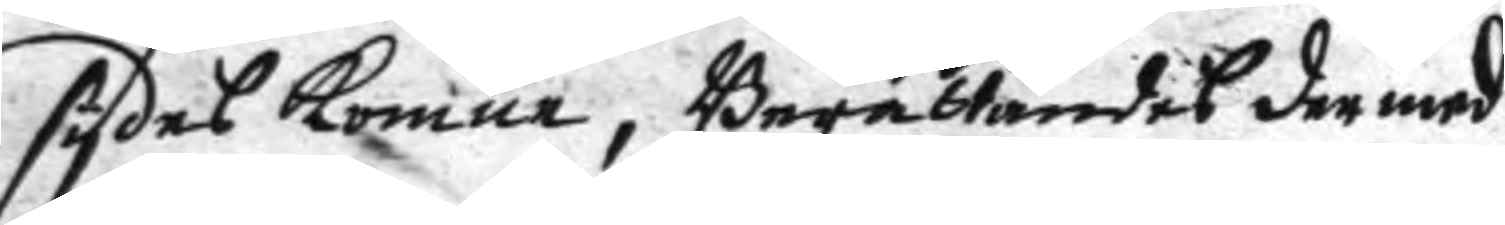sydes komne, Berättandes der med
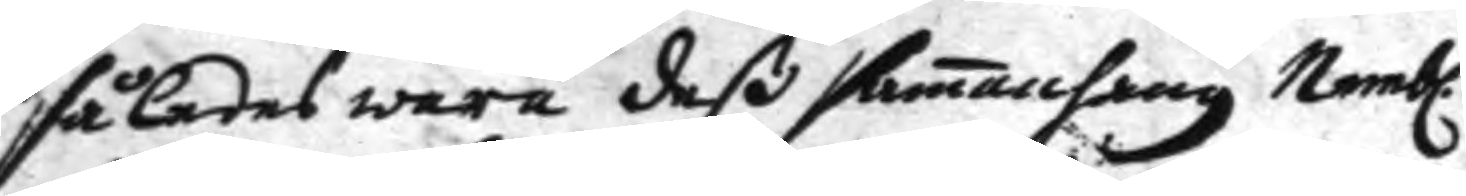således wara deß samanhang Nembl.n
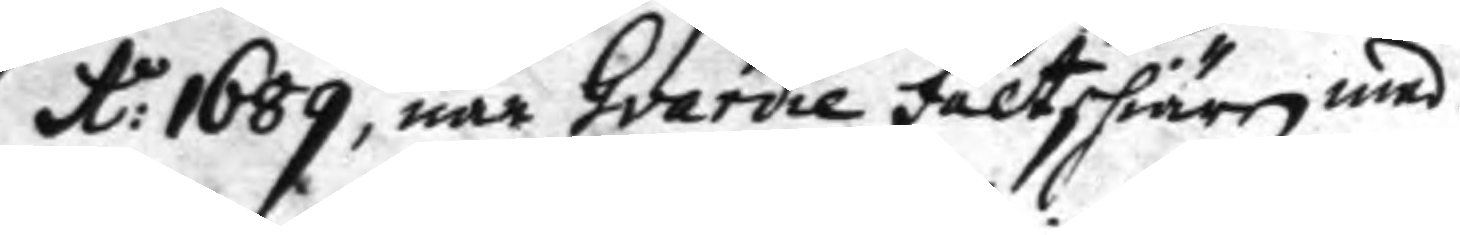A: 1689, när Gardie fältskiären med
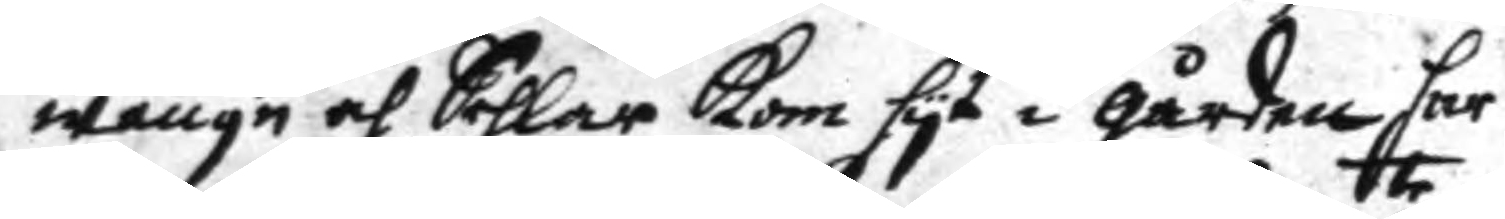wangn och Sehlar kom hyt i gården har
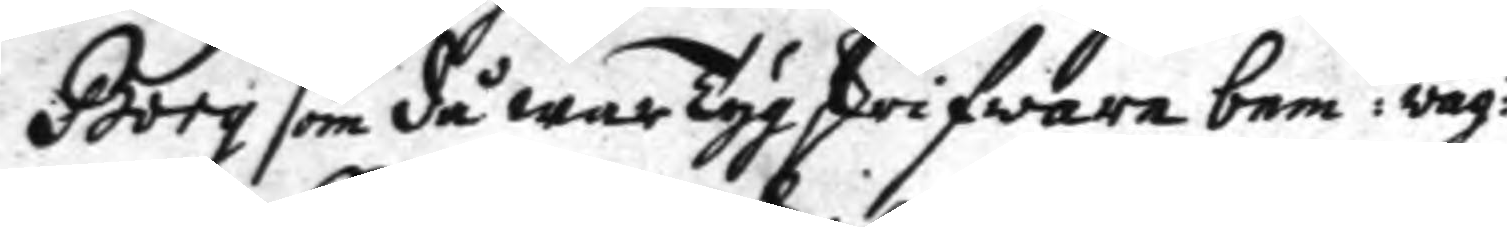georg som då war Tyg skrifware bem:te wag:r
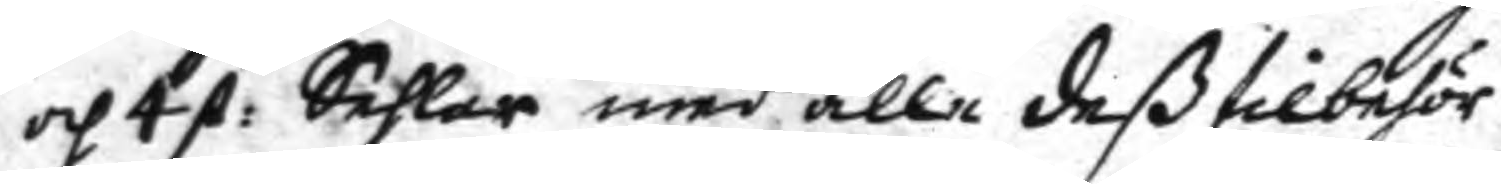och 4 st: Sehlar med alla deß tilbehör
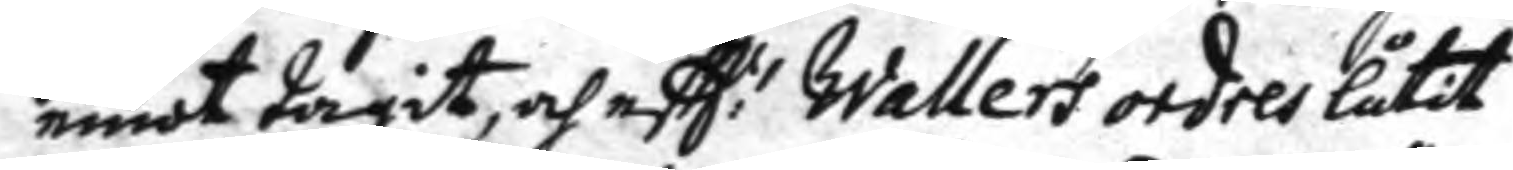emot tagit, och eftt:r Wallers ordres låtit
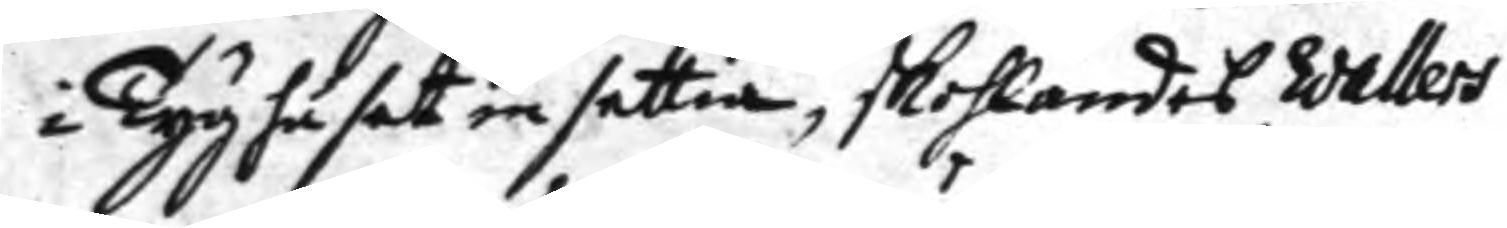i Tyghuset in settia, skohlandes Wallers
